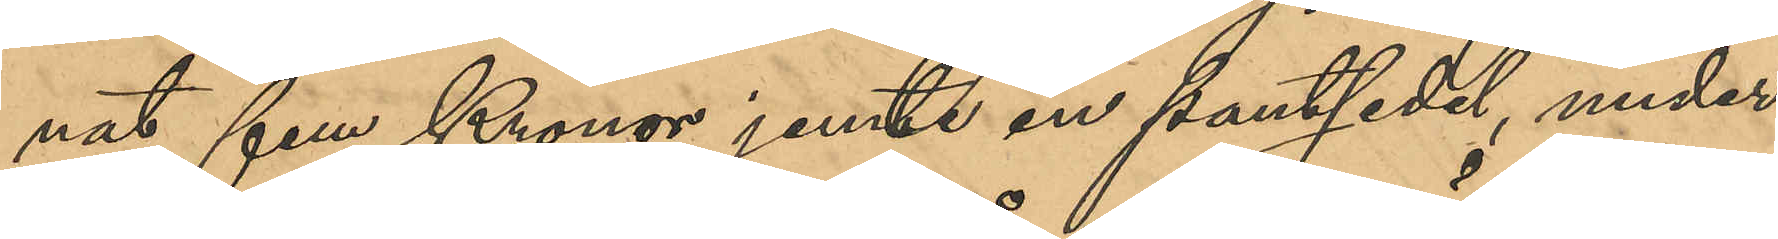nat fem Kronor jemte en pantsedel, under
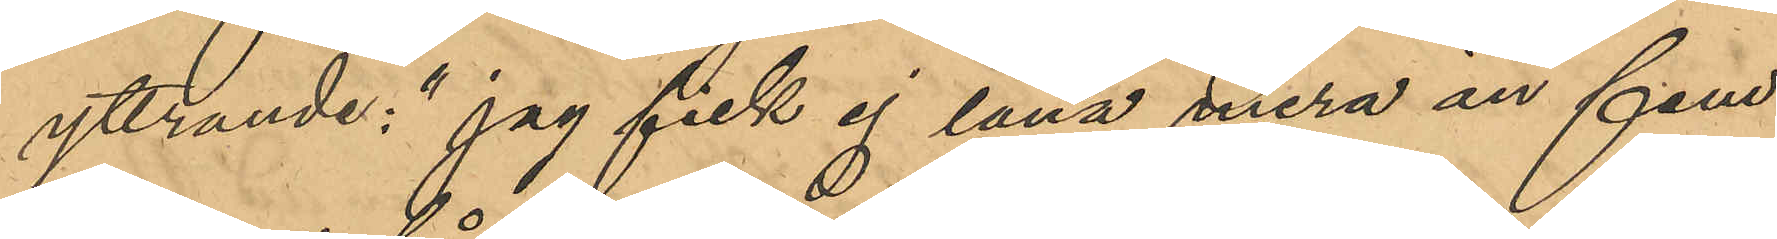yttrande: "jag fick ej låna mera än fem
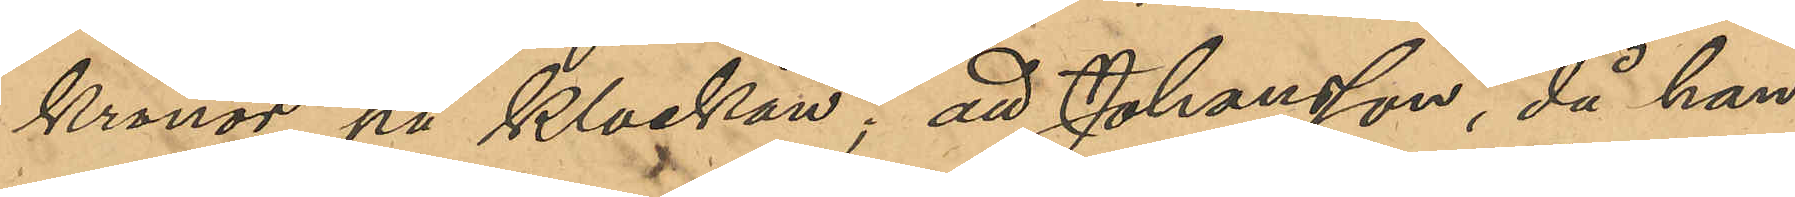kronor på klockan"; att Johansson, då han
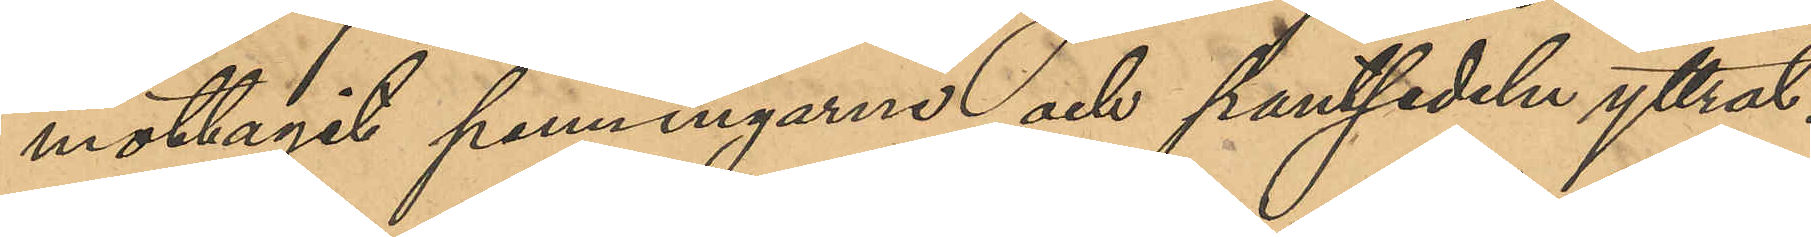mottagit penningarne och pantsedeln yttrat:
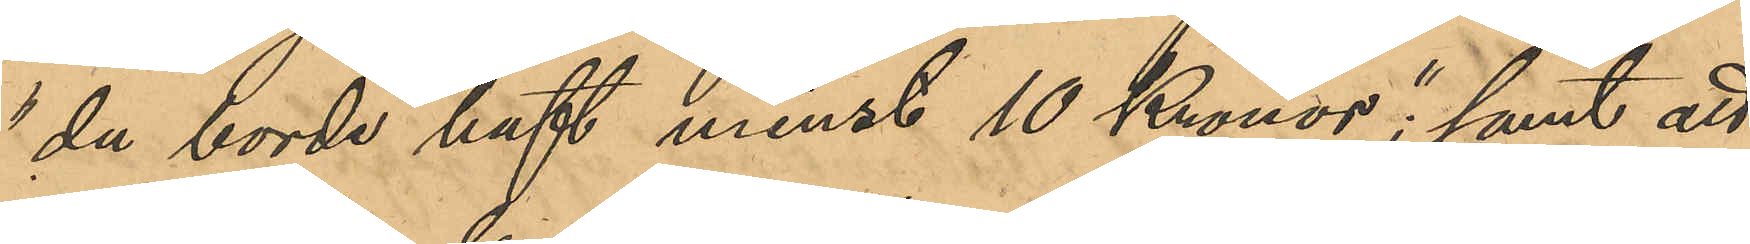"du borde haft minst 10 Kronor"; samt att
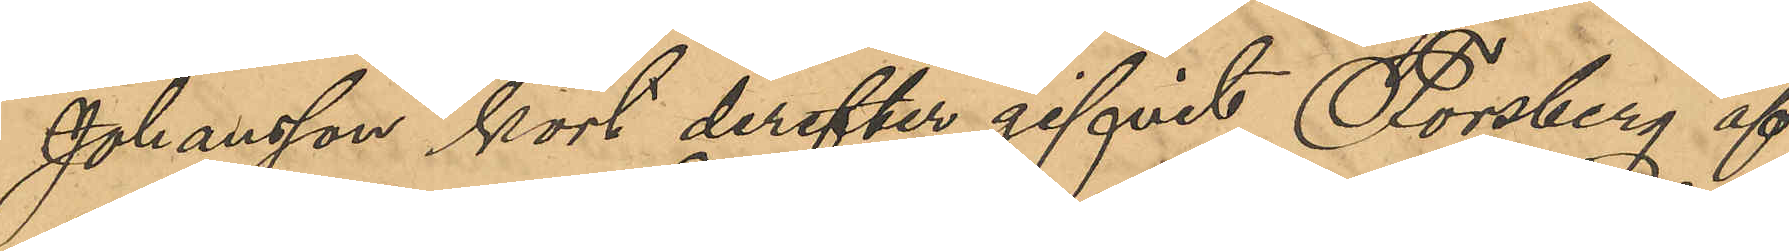Johansson kort derefter gifvit Forsberg af
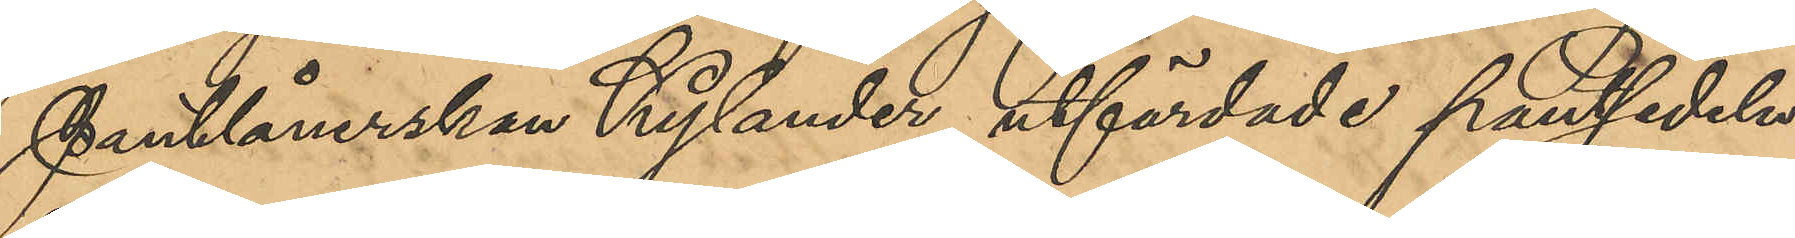Pantlånerskan Kylander utfärdade pantsedeln
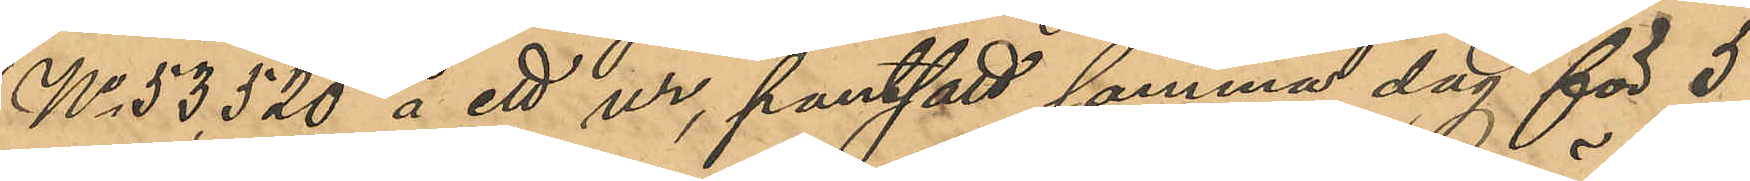No 53,520 å ett ur, pantsatt samma dag för 5
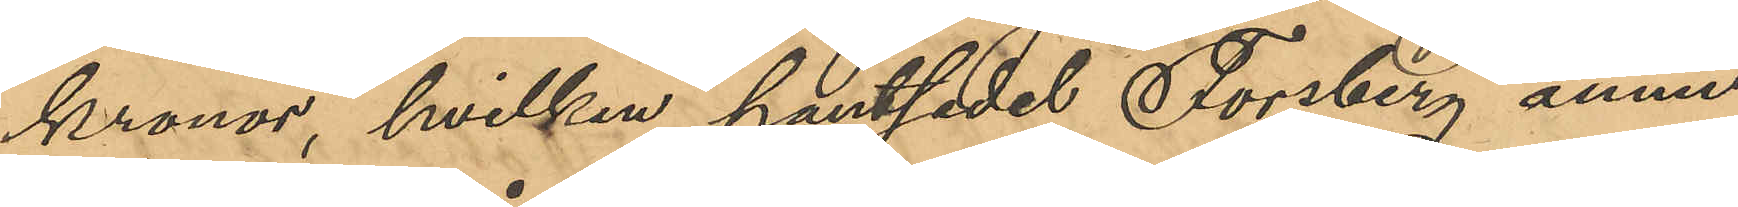kronor, hvilken pantsedel Forsberg ännu
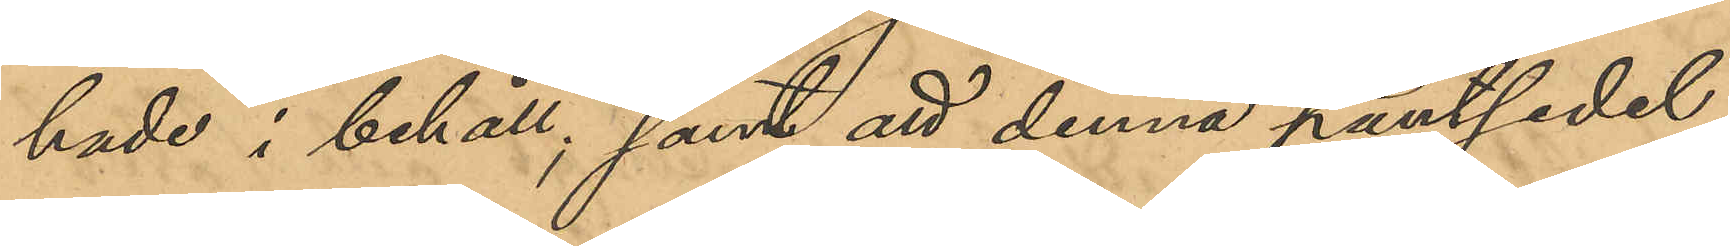hade i behåll; samt att denna pantsedel
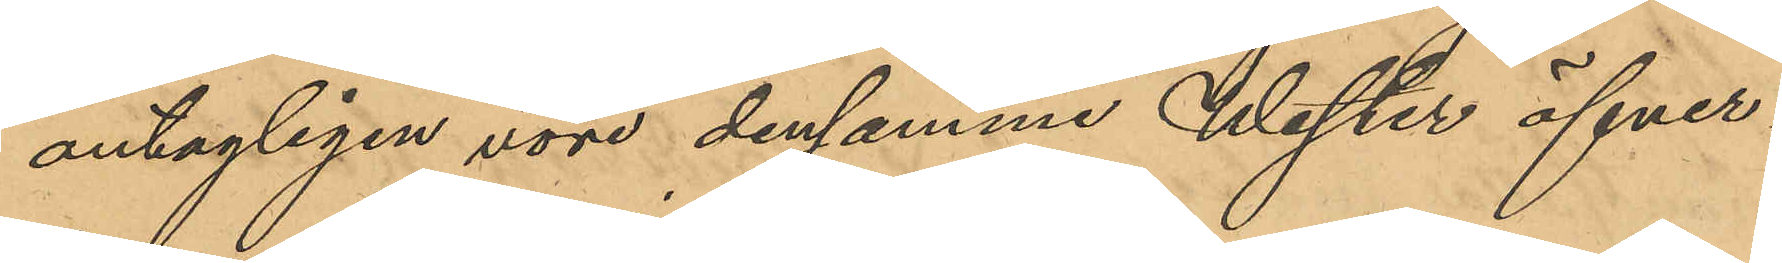antagligen vore densamme Wester öfver¬
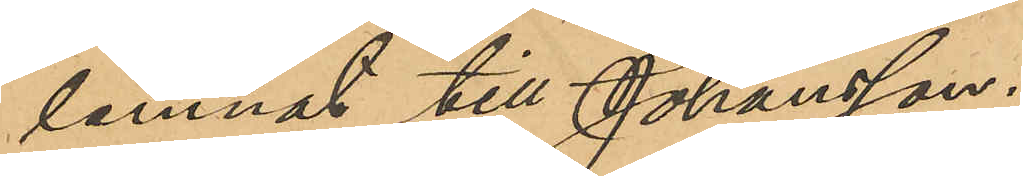lemnat till Johansson.
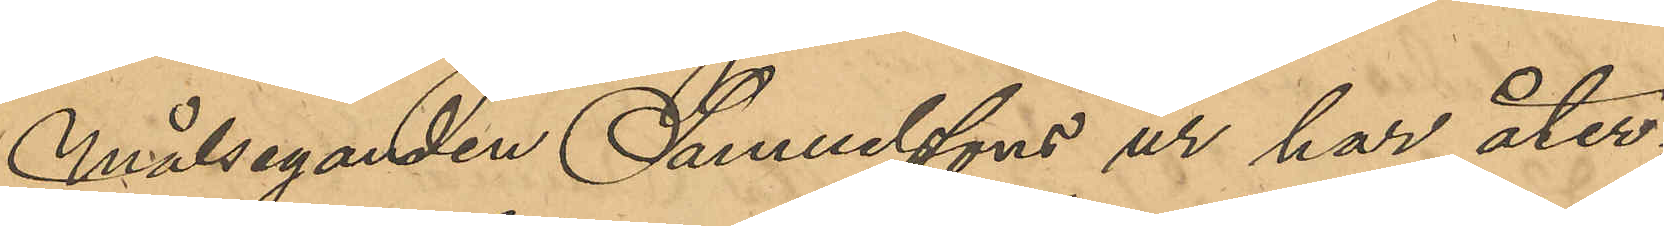Målseganden Samuelssons ur har åter¬
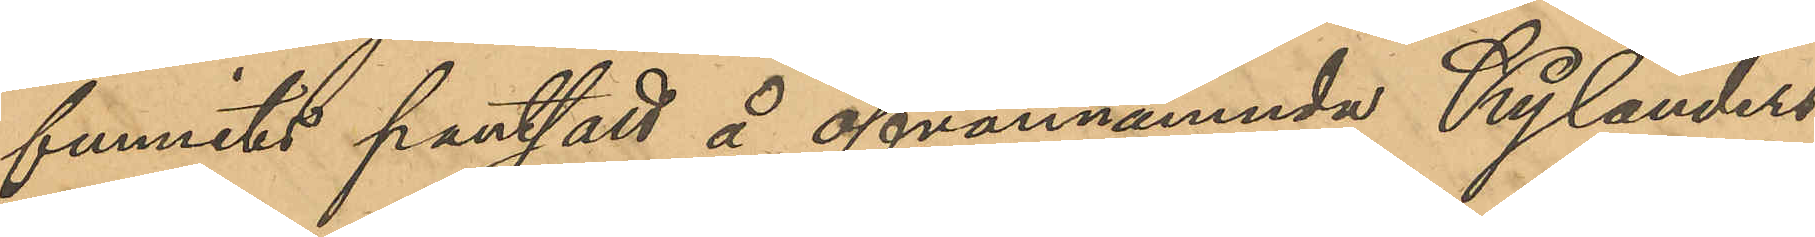funnits pantsatt å ofvannämnde Kylanders
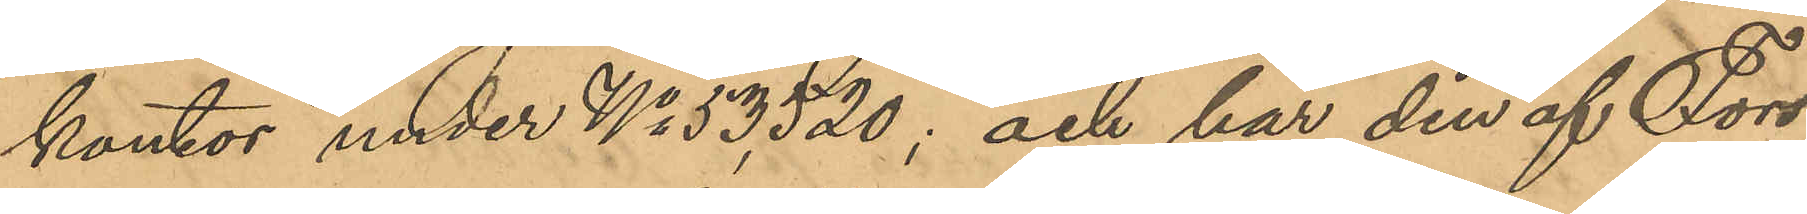kontor under No 53,520; och har den af Fors¬
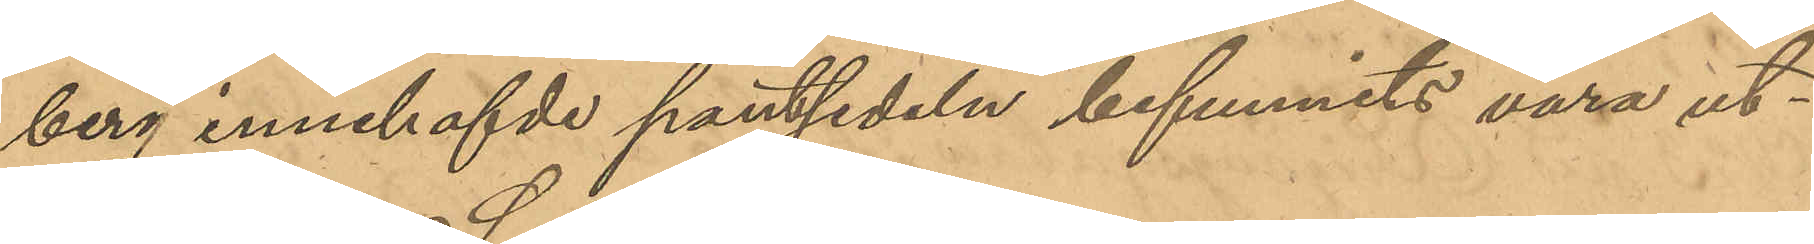berg innehafvde pantsedeln befunnits vara ut¬
